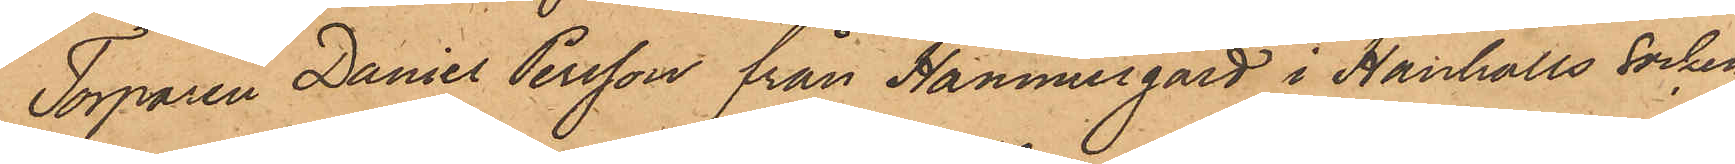Torparen Daniel Persson från Hammergård i Hanhalls socken
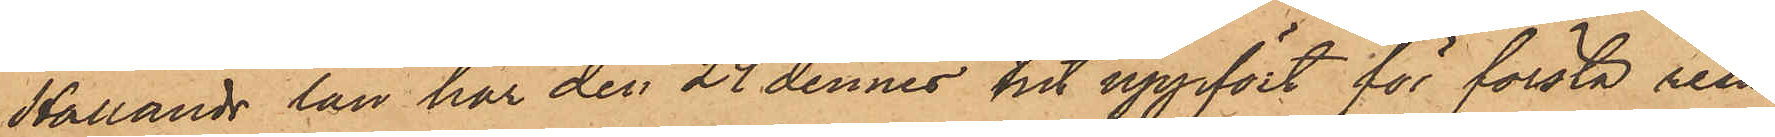Hallands län har den 24 dennes hit uppfört för första resan
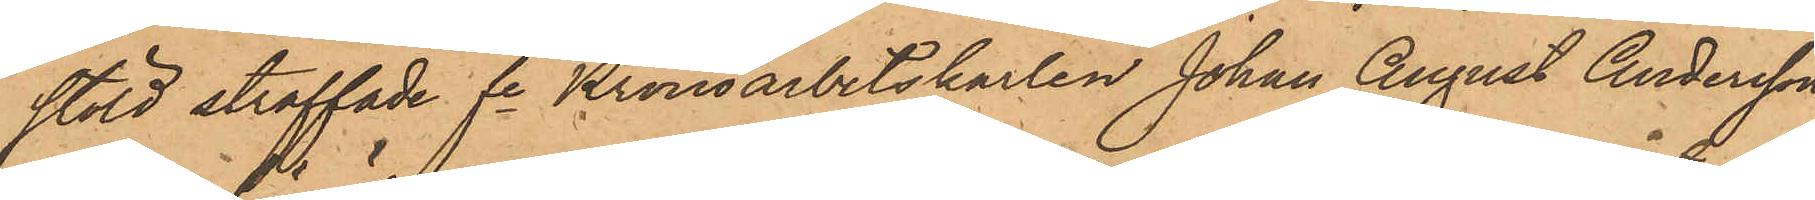stöld straffade fe Kronoarbetskarlen Johan August Andersson
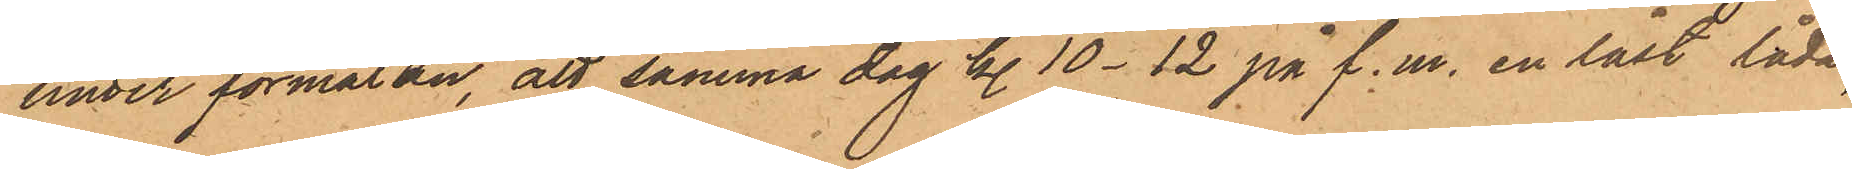under förmälan, att samma dag kl. 10 - 12 på f. m. en låst låda,
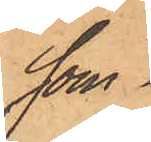som
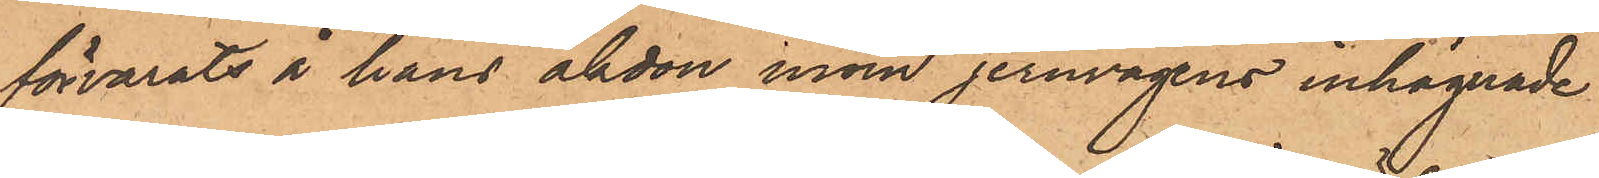förvarats i hans åkdon inom jernvägens inhägnade
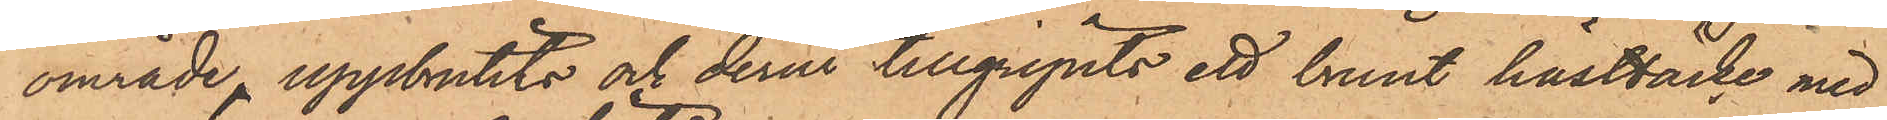område, uppbrutits och derur tillgripits ett brunt hästtäcke med
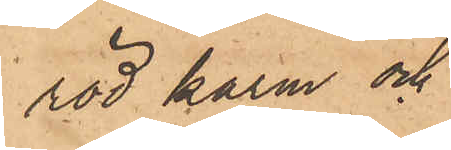röd karm och
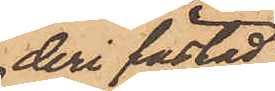deri fästad
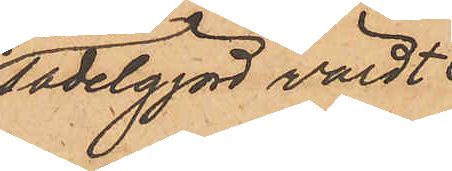sadelgjord värdt
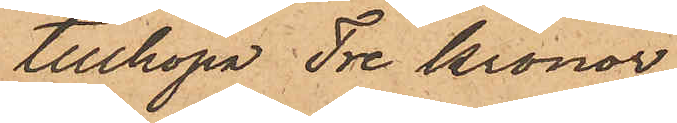tillhopa Tre Kronor,
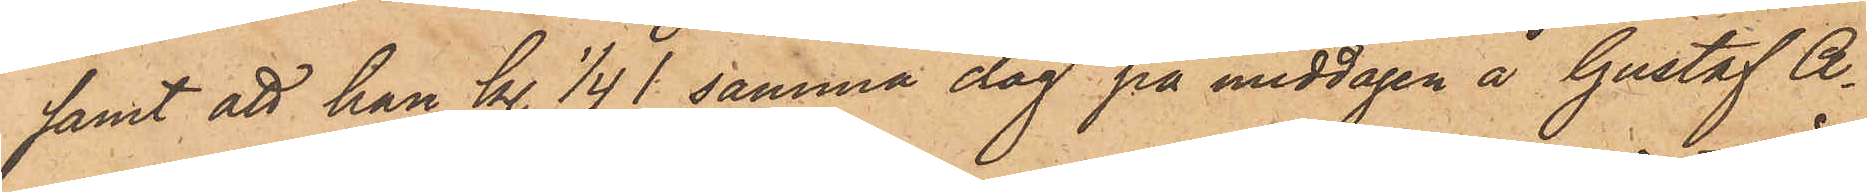samt att han kl. 1/4 1 samma dag på middagen å Gustaf A¬
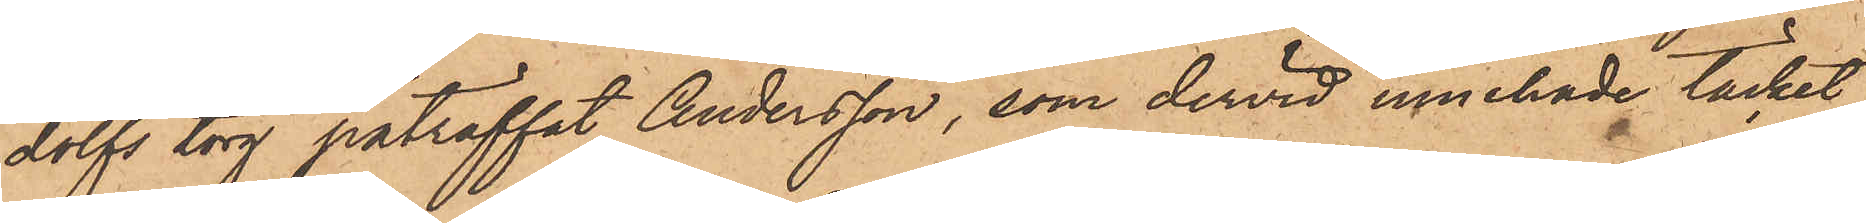dolfs torg påträffat Andersson, som dervid innehade täcket.
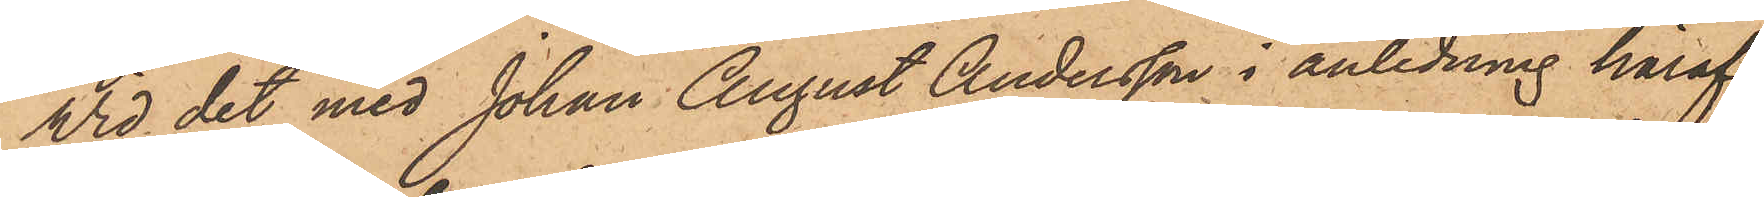Wid det med Johan August Andersson i anledning häraf
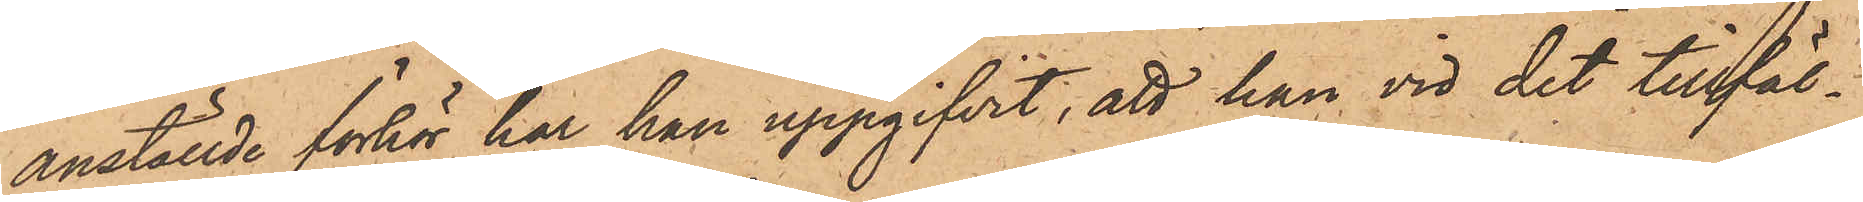anställde förhör har han uppgifvit, att han vid det tillfäl¬
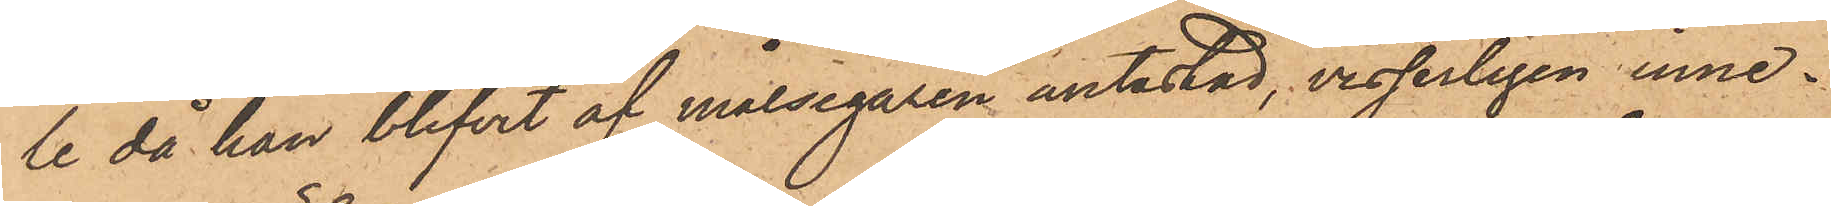le då han blifvit af målsegaren antastad, visserligen inne¬
